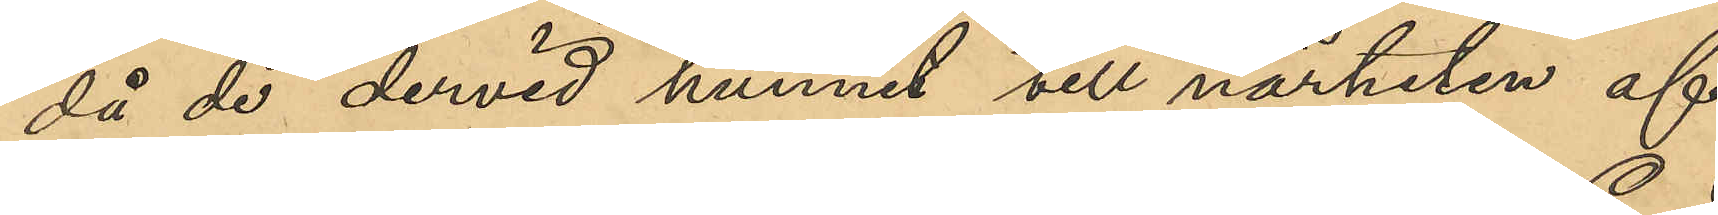då de dervid hunnit till närheten af
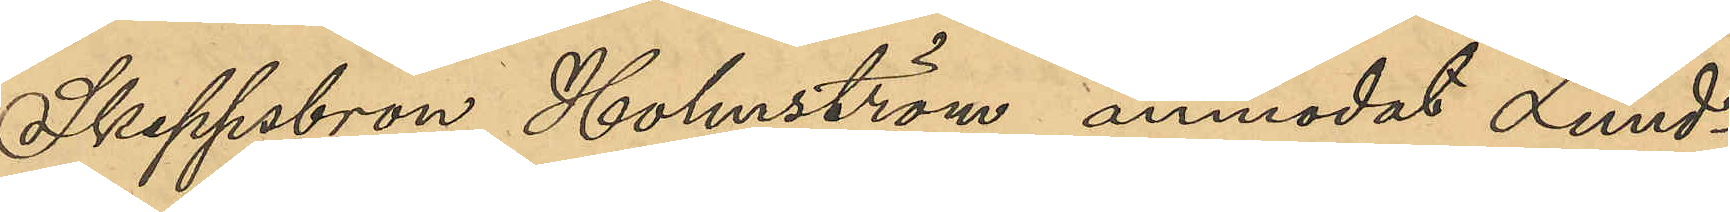Skeppsbron, Holmström anmodat Lund¬
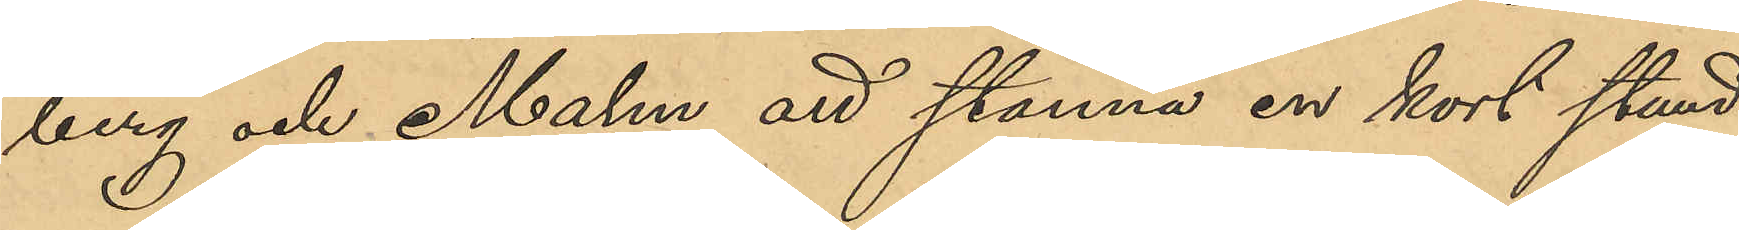berg och Malm att stanna en kort stund
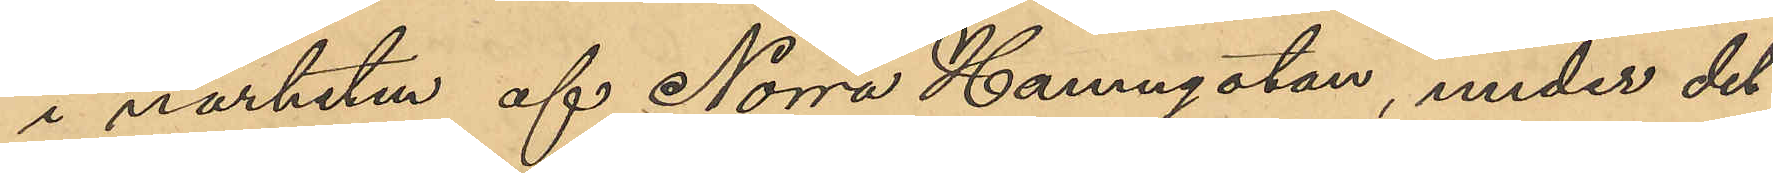i närheten af Norra Hamngatan, under det
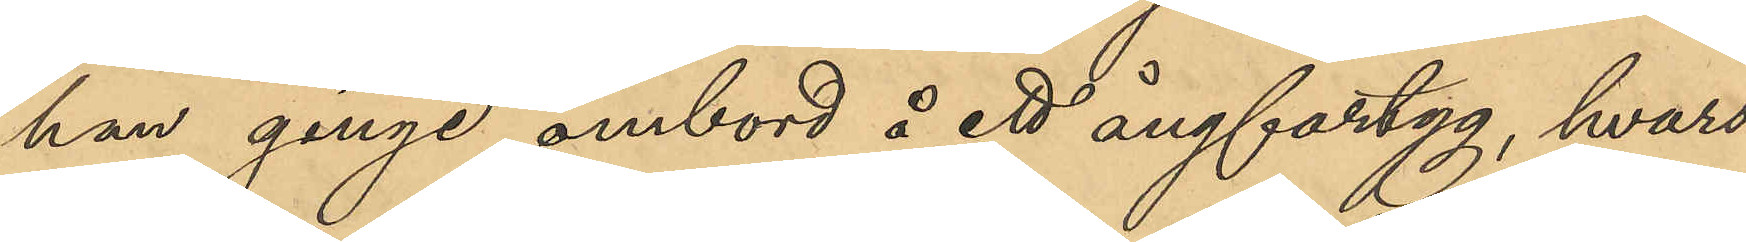han ginge ombord å ett ångfartyg, hvars
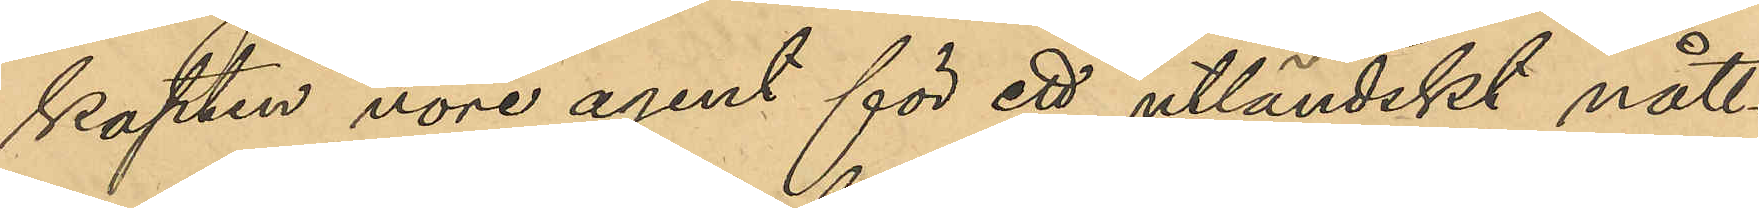kapten vore agent för ett utländskt nått¬
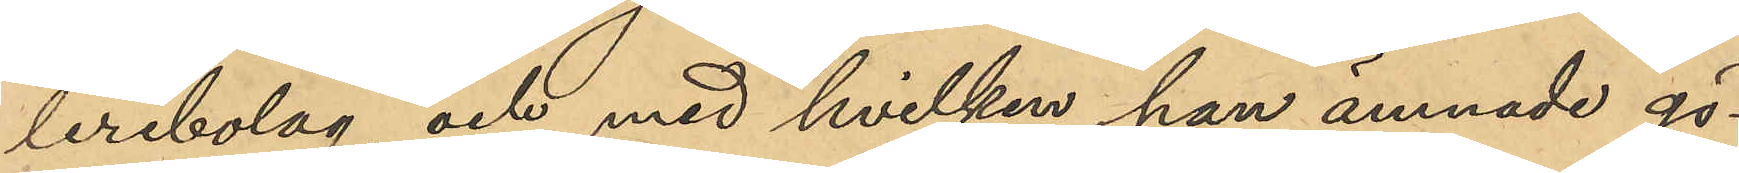leribolag, och med hvilken han ämnade gö¬
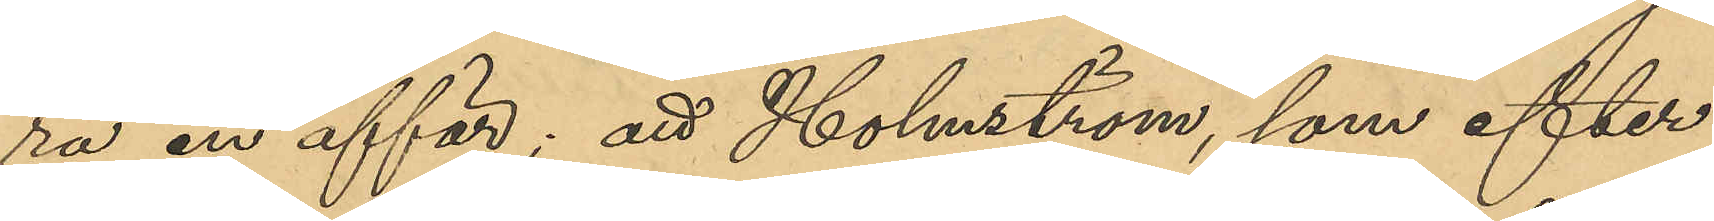ra en affär; att Holmström, som efter
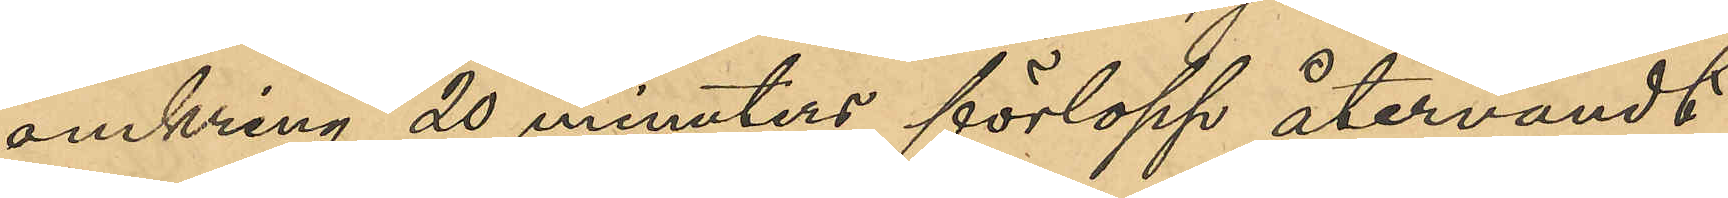omkring 20 minuters förlopp återvändt
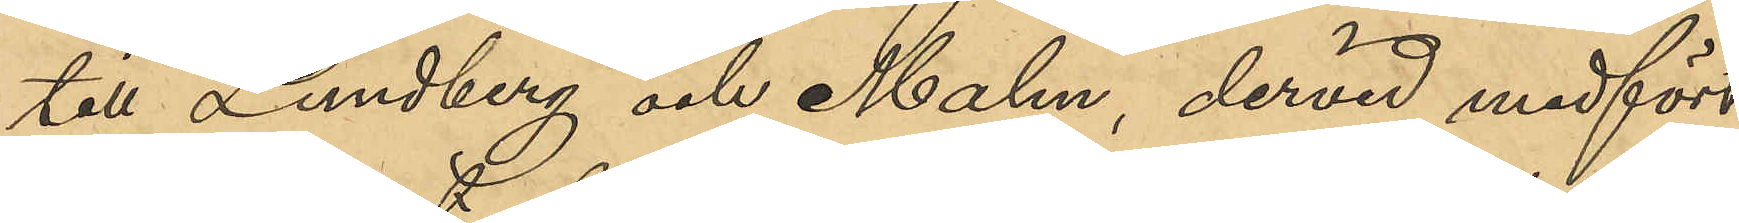till Lundberg och Malm, devid medfört
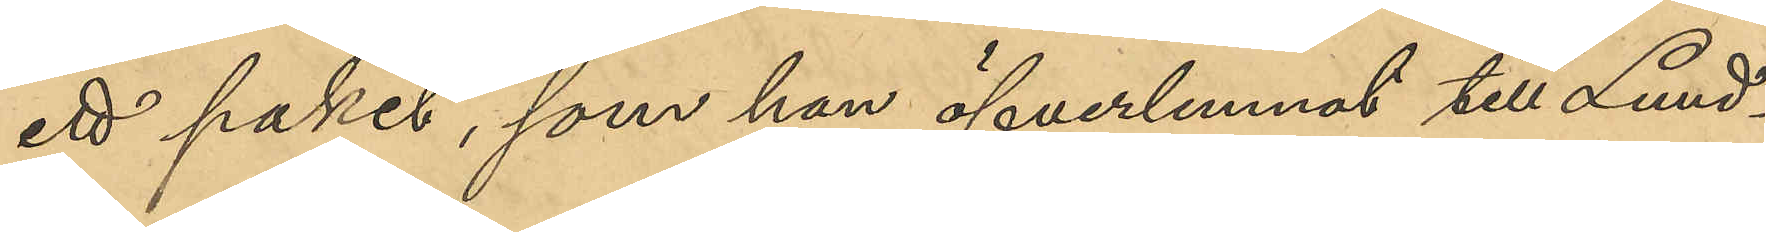ett paket, som han öfverlemnat till Lund¬
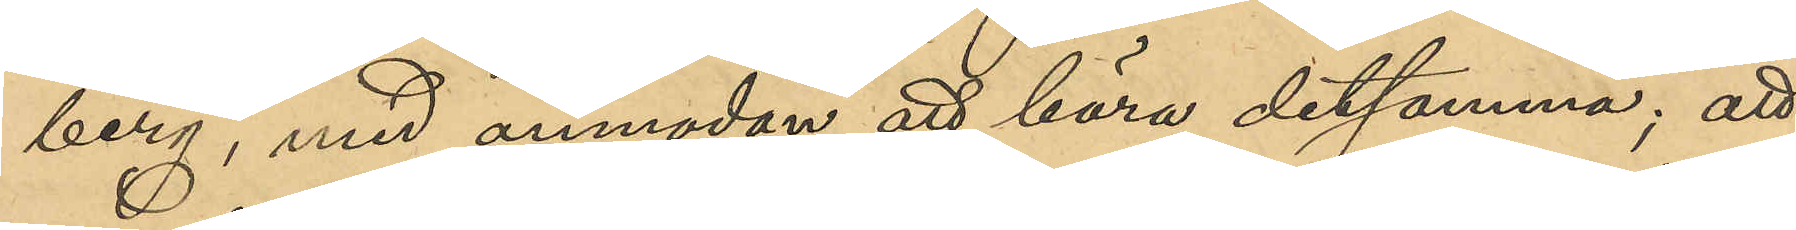berg, med anmodan att bära detsamma; att 
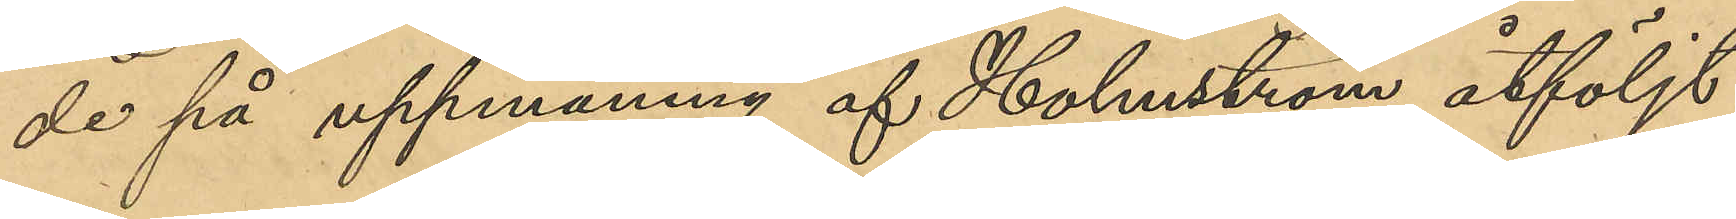de på uppmaning af Holmström åtföljt
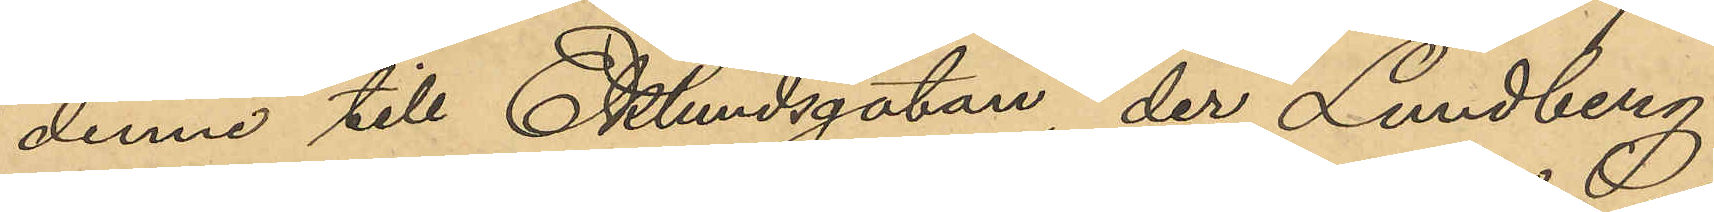denne till Eklundsgatan, der Lundberg
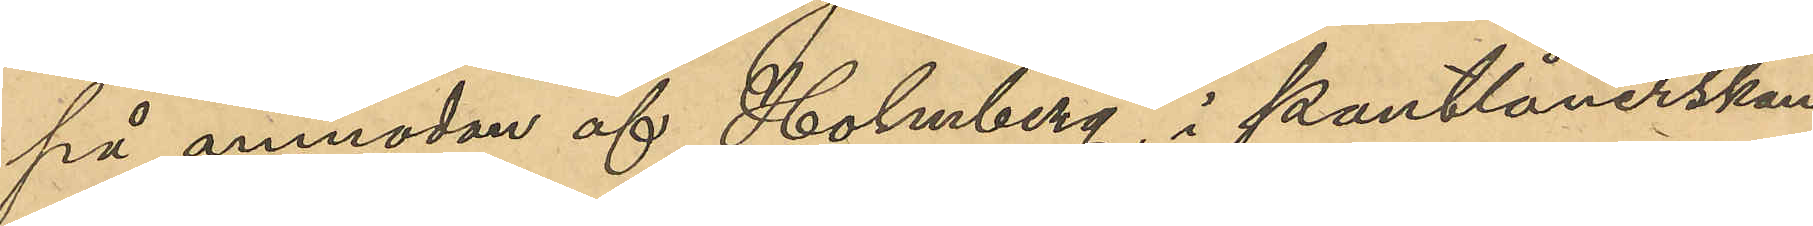på anmodan af Holmberg i Pantlånerskan
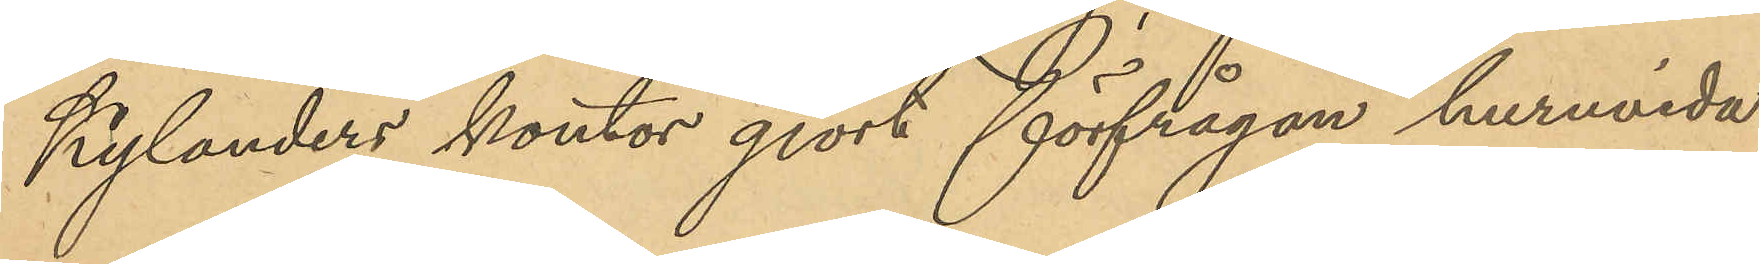Kylanders kontor gjort förfrågan huruvida
